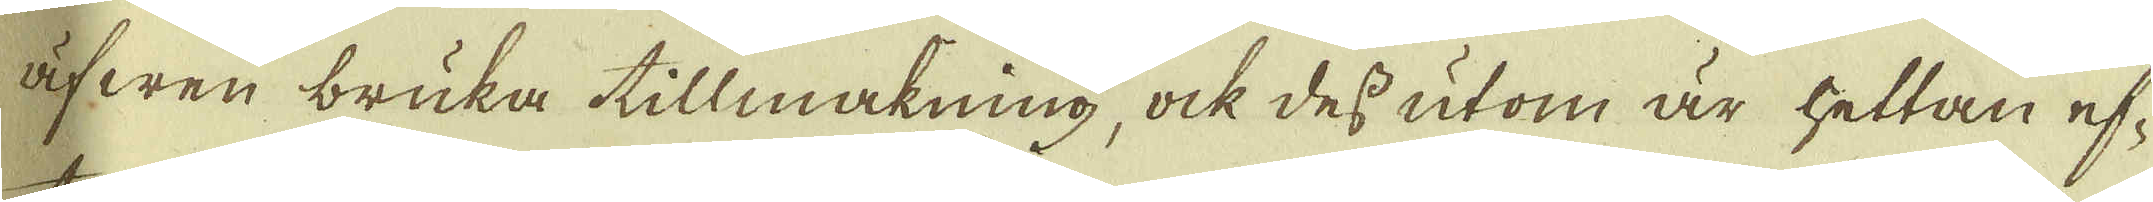äfwen bruka tillmakning, ock des utom är hettan ef-
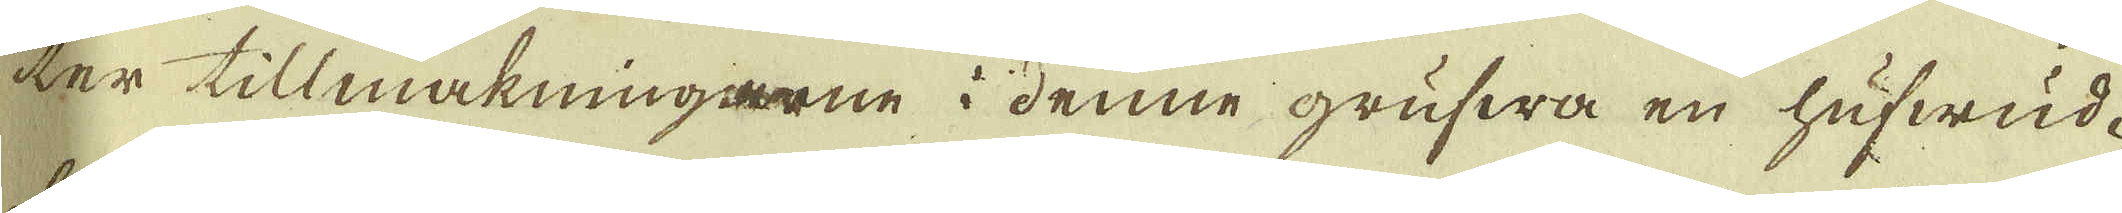ter tillmakningarne i denne grufwa en hufwud-
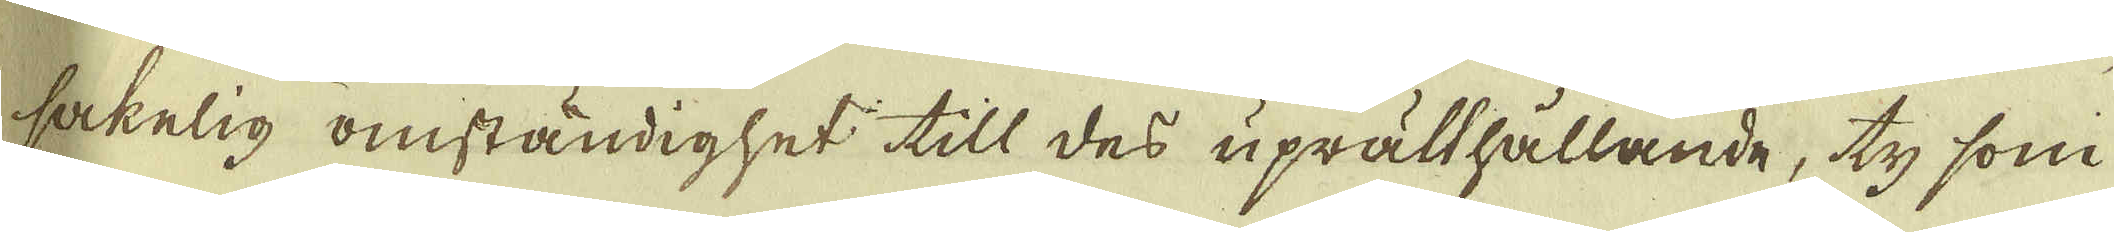sakelig omständighet till des uprätthållande, ty som
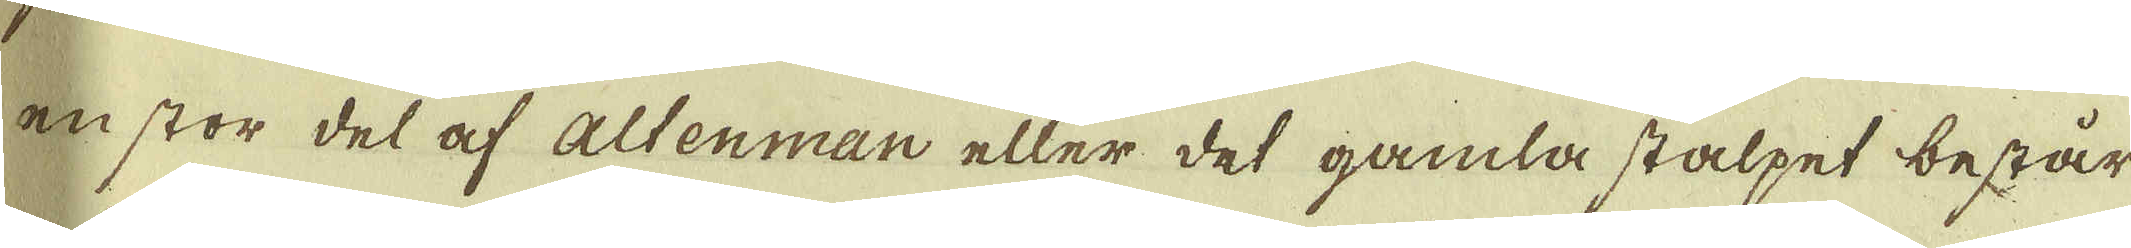en stor del af altenman eller det gamla stalpet består
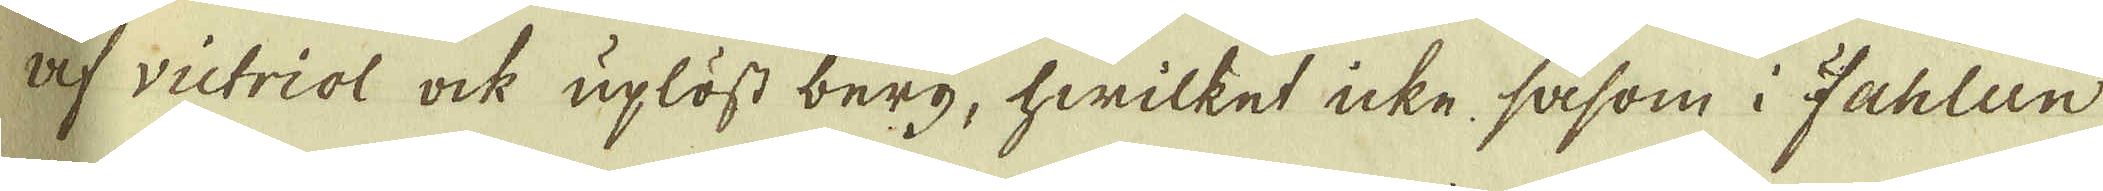af victriol ock uplöst berg, hwilket icke såsom i Fahlun
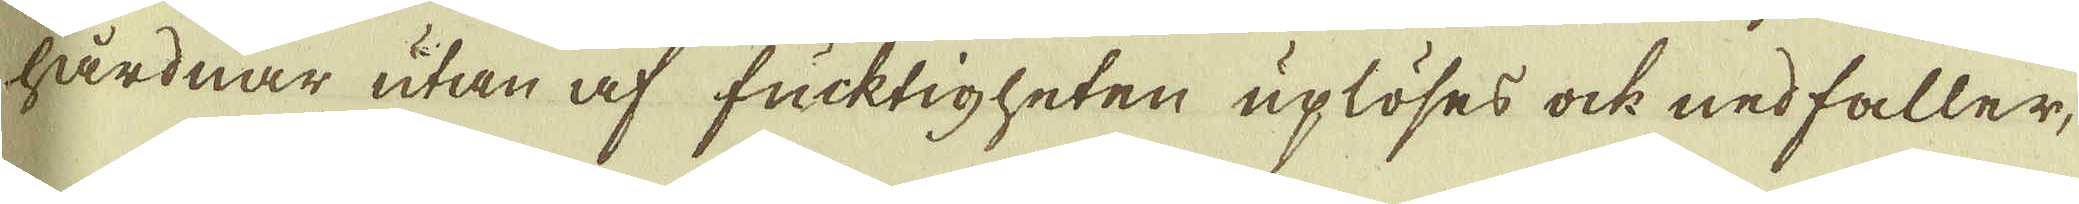hårdnar utan af frucktigheten uplöses ock nedfaller,
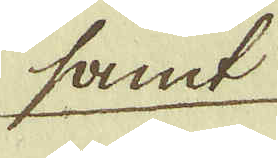samt
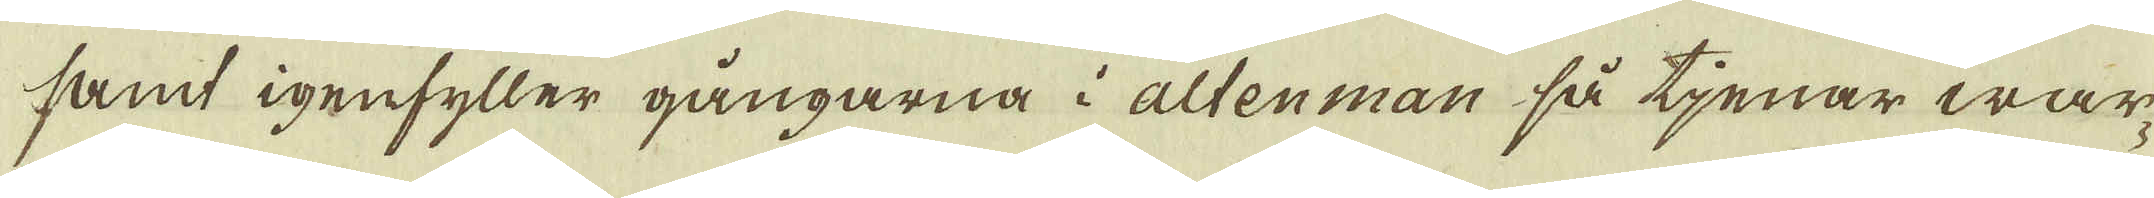samt igenfyller gångarna i altenman så tjenar war-
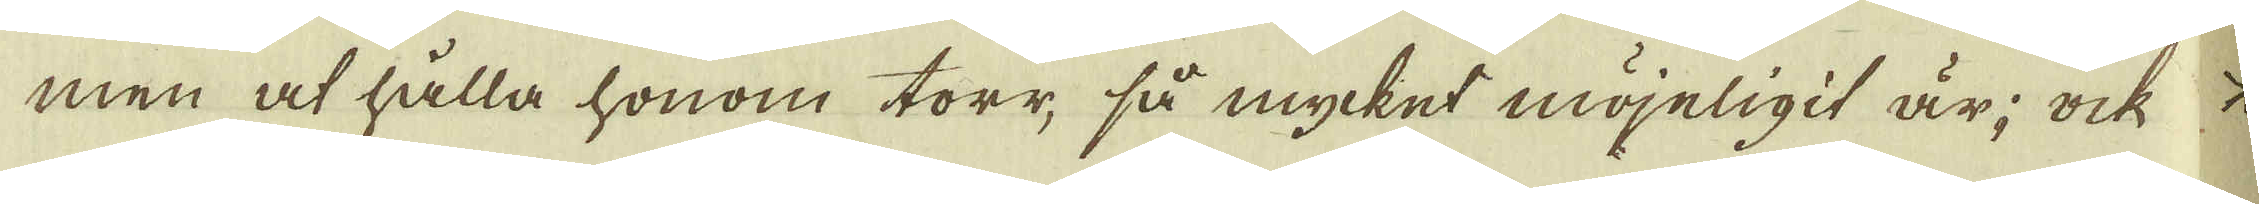men at hålla honom torr, så mycket möjeligit är; ock
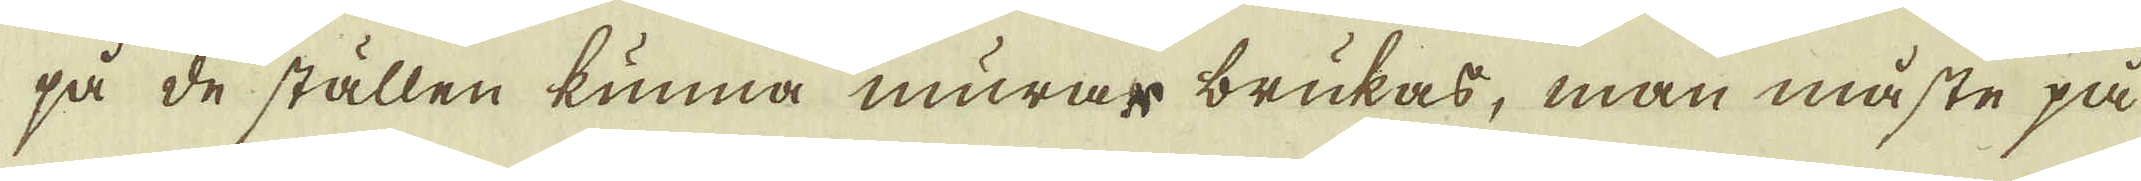på de ställen kunna murar brukas, man måste på
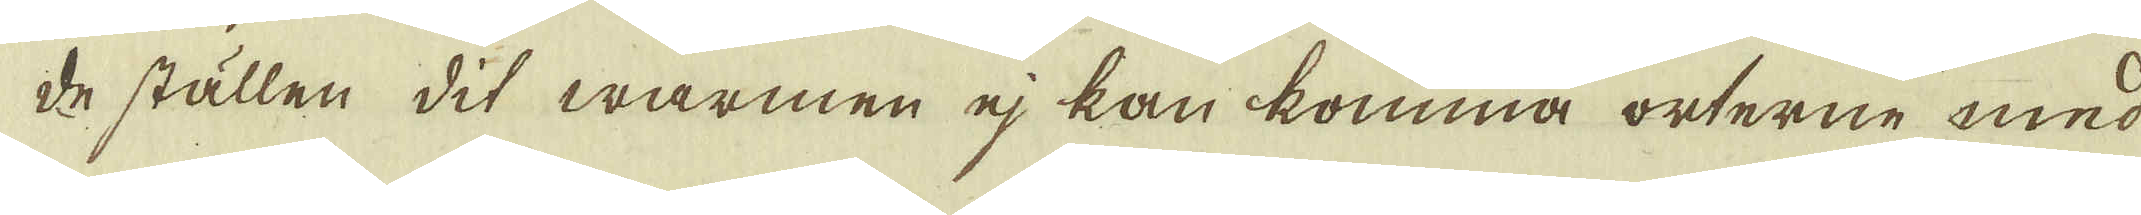de ställen dit warmen ej kan komma orterne med
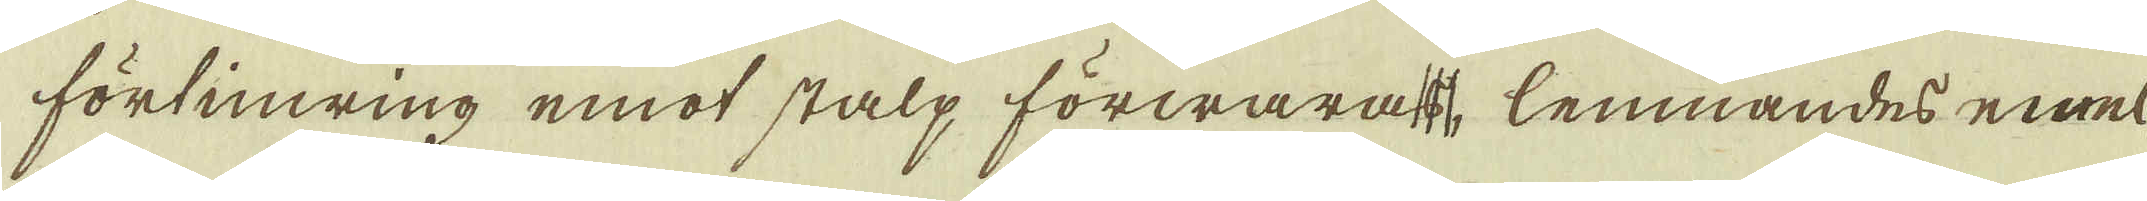förlinning emot stalp förwara, lemnandes emel-
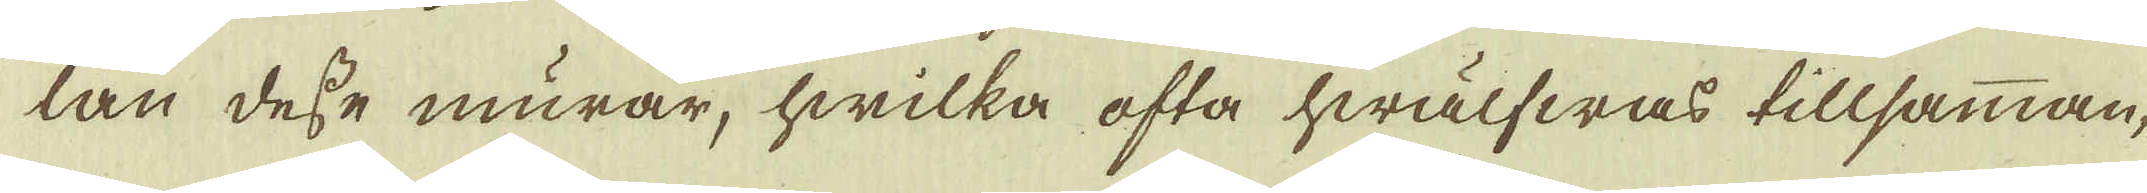lan desse murar, hwilka ofta hwälfwas tillsamman,
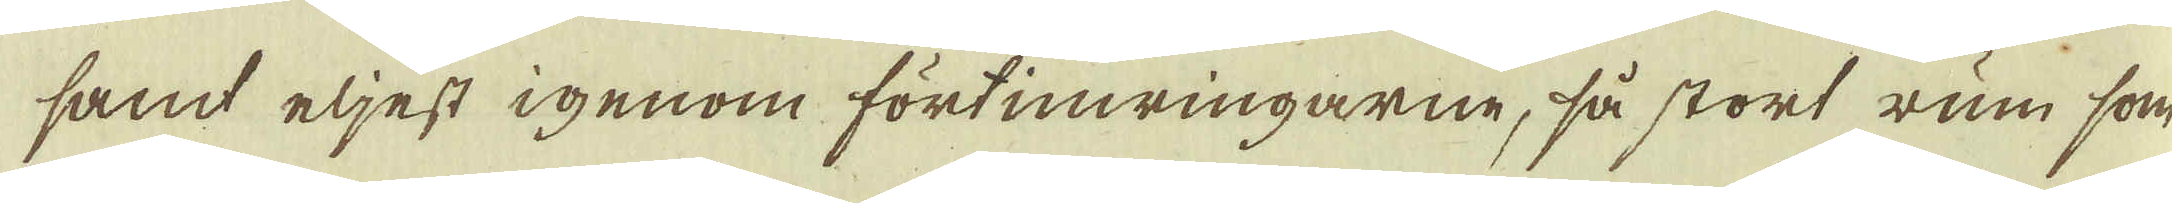sand eljest igenom försinningarne, så stort rum som
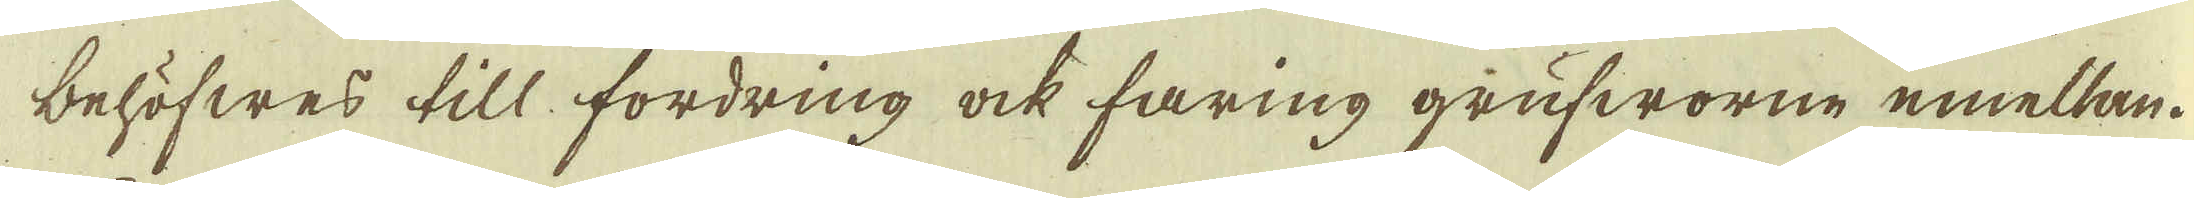behöfwes till fordring ock faring grufworne emellan.
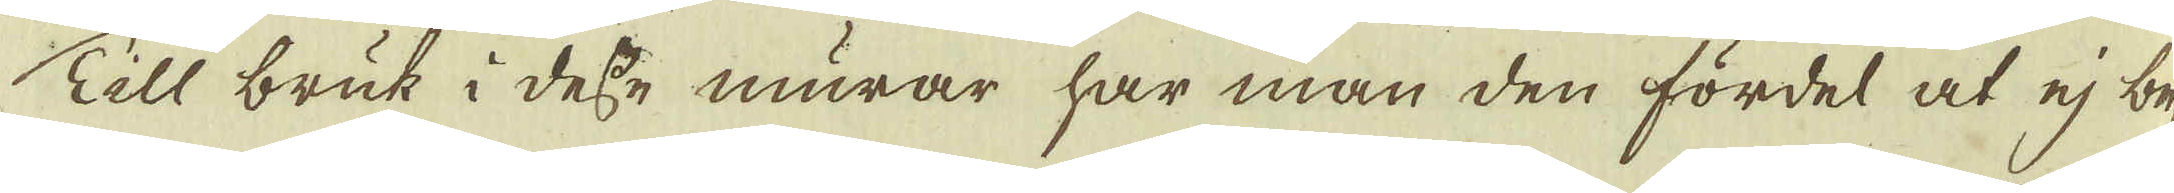Till bruk i desse murar har man den fördel at ej be-
